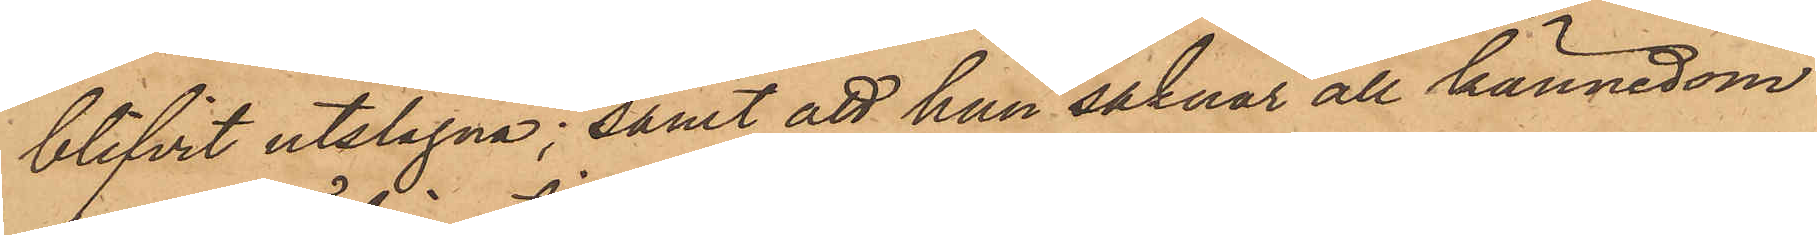blifvit utslagna; samt att han saknar all kännedom
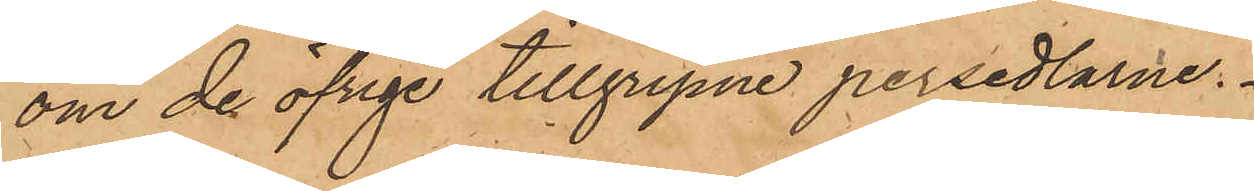om de öfrige tillgripne persedlarne.
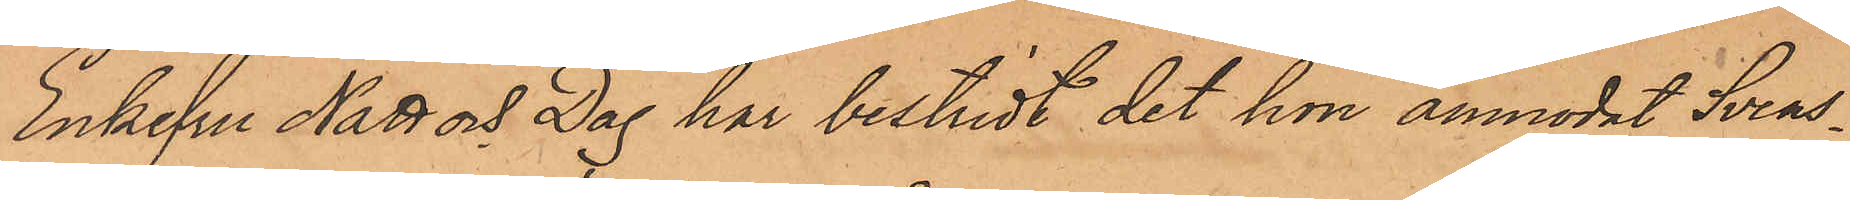Enkefru Natt och Dag har bestridt det hon anmodat Svens¬
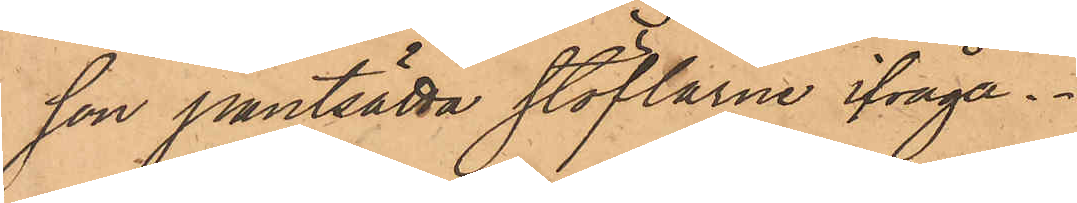son pantsätta stöflarne ifråga.
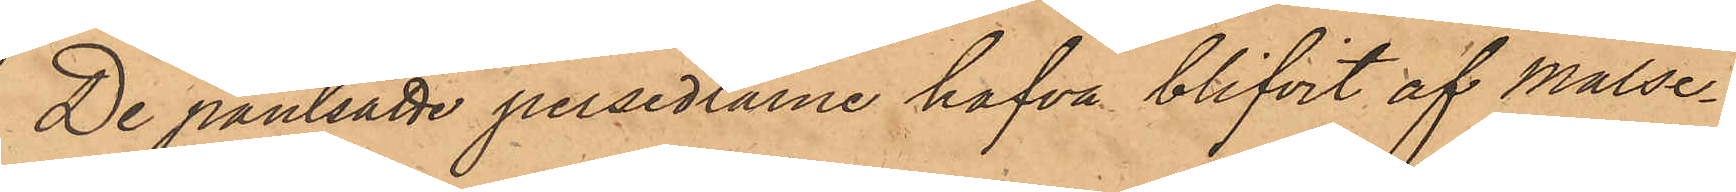De pantsatte persedlarne hafva blifvit af Målse¬
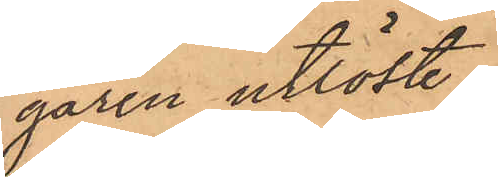garen utlöst.
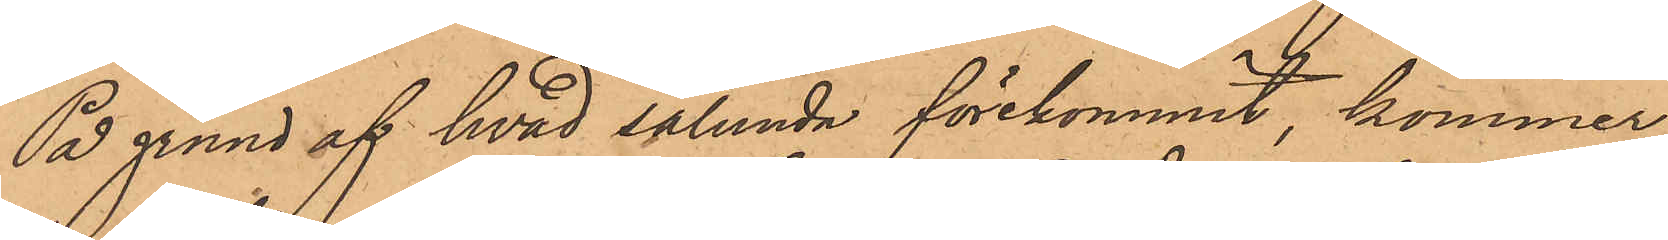På grund af hvad sålunda förekommit, kommer
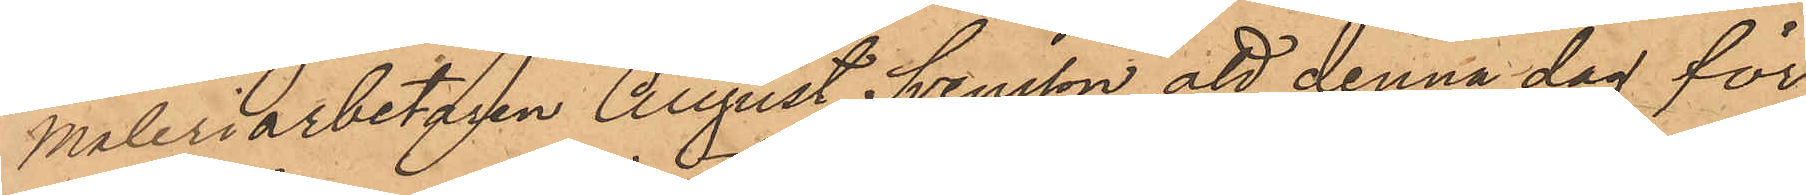Måleriarbetaren August Svensson att denna dag för
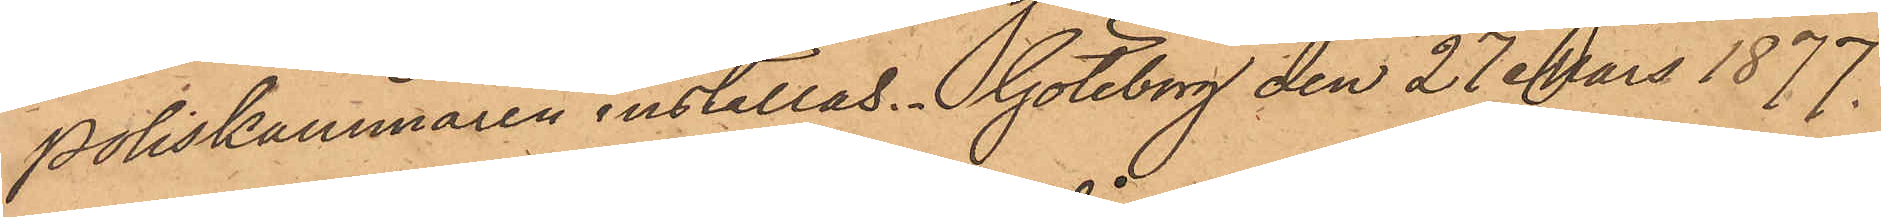Poliskammaren inställas. Göteborg den 27 Mars 1877.
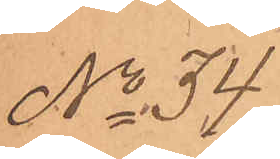No 34
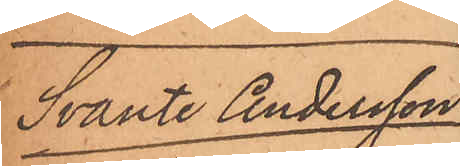Svante Andersson
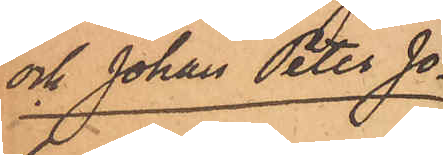och Johan Peter Jo¬
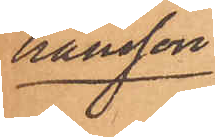hansson
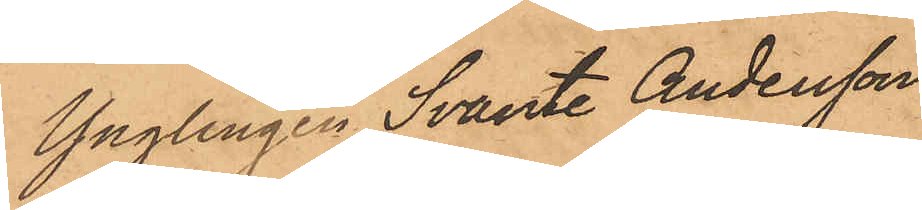Ynglingen Svante Andersson
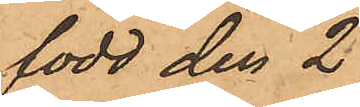född den 2
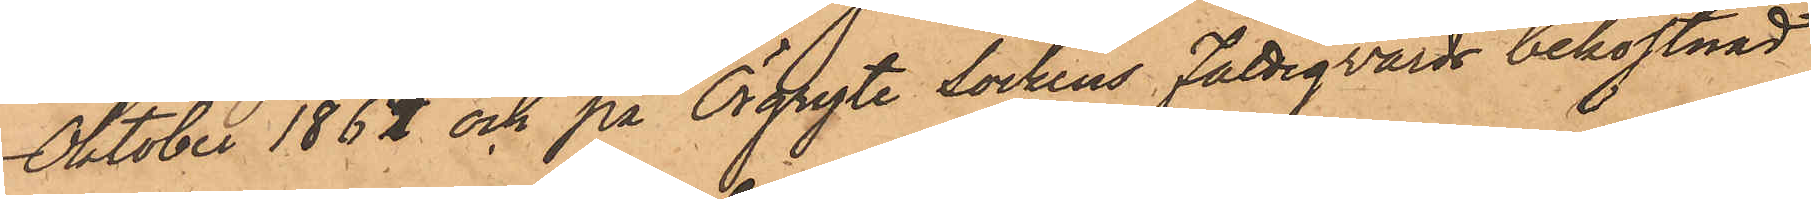Oktober 1864 och på Örgryte sockens Fattigvårds bekostnad
